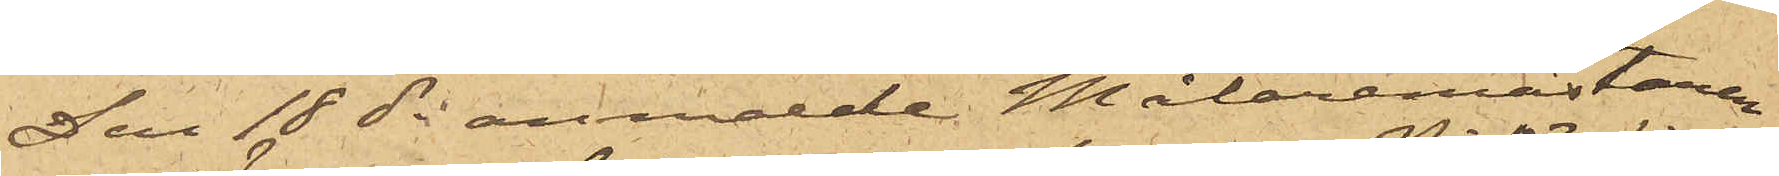Den 18 ds anmälde Målaremästaren
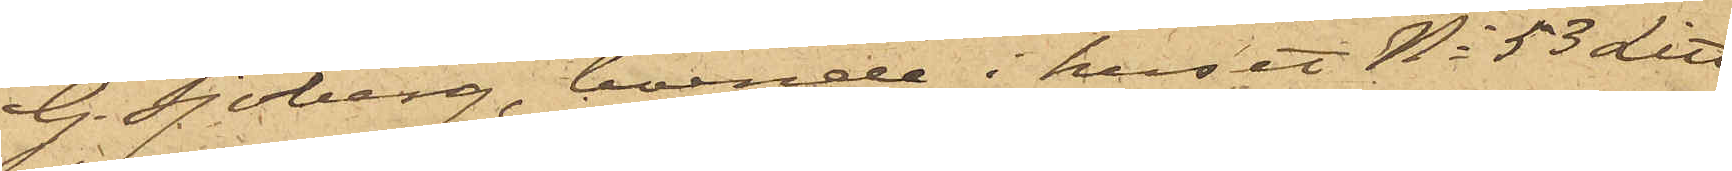G. Sjöberg, boende i huset No 53 Litt
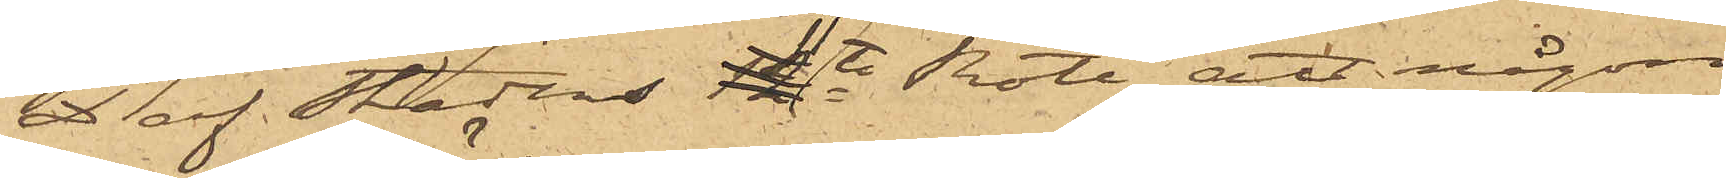D af Stadens 11te Rote, att någon
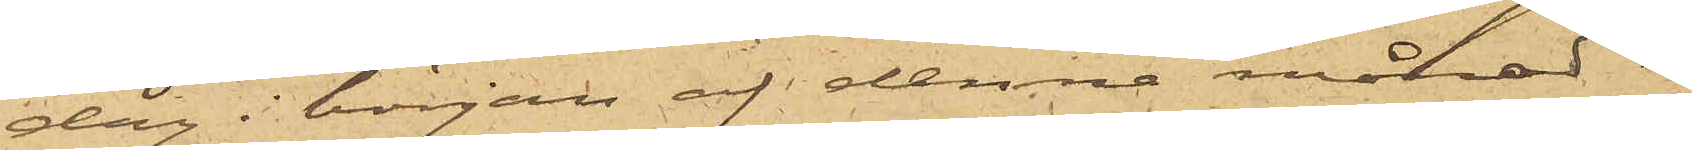dag i början af denne månad i
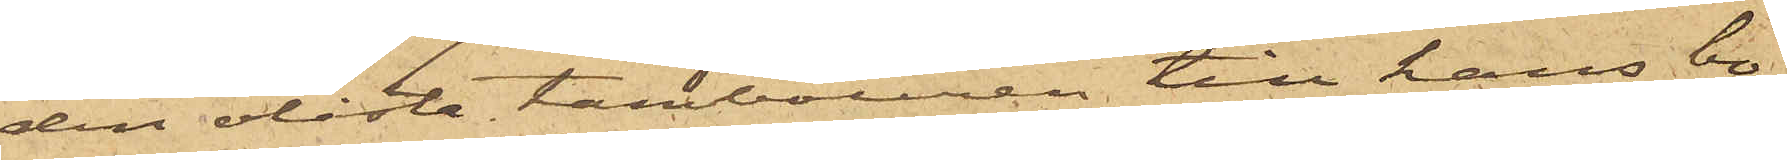den olåsta tambouren till hans bo¬
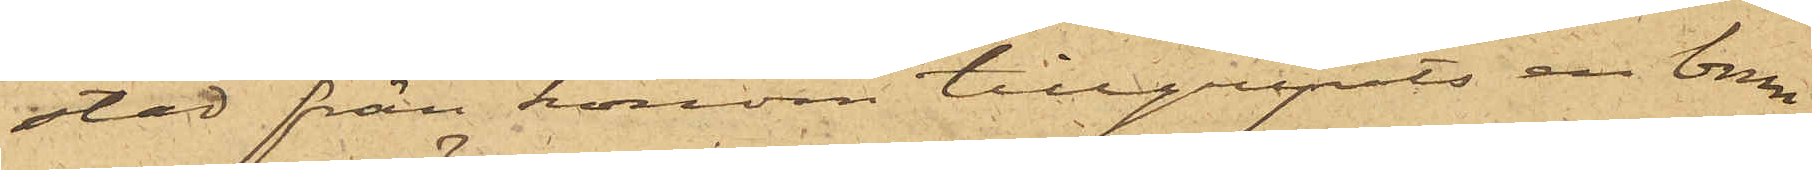stad från honom tillgripits en brun
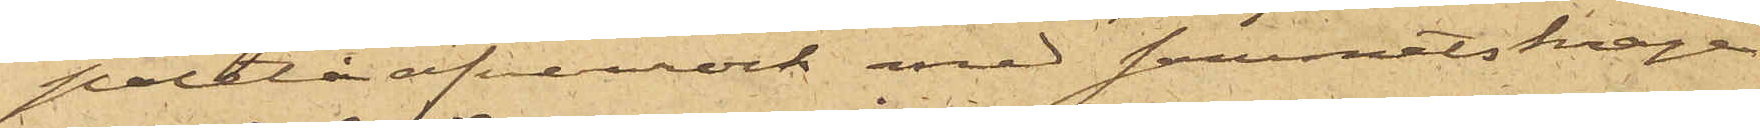paletåöfverrock med sammetskrage
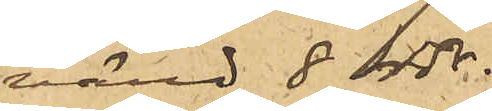värd 8 rdr.
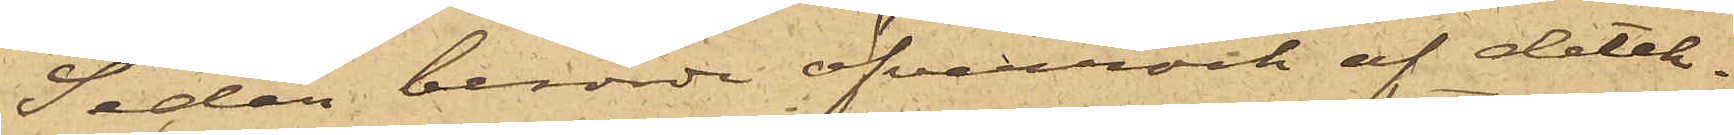Sedan berörde öfverrock af detek¬
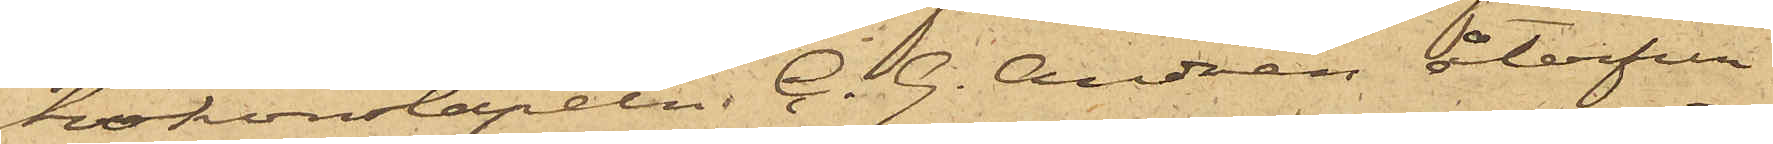tivkonstapeln C. G. Andrén återfun¬
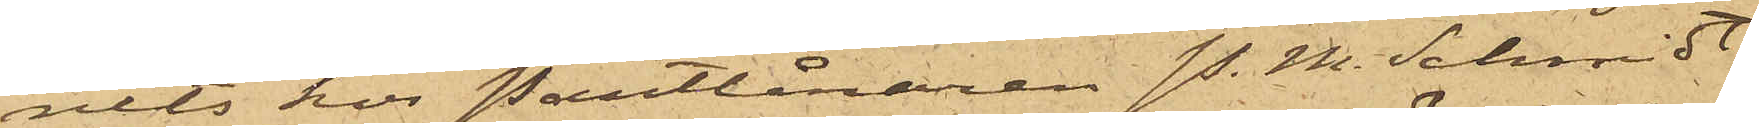nits hos Pantlånaren P. M. Schmidt
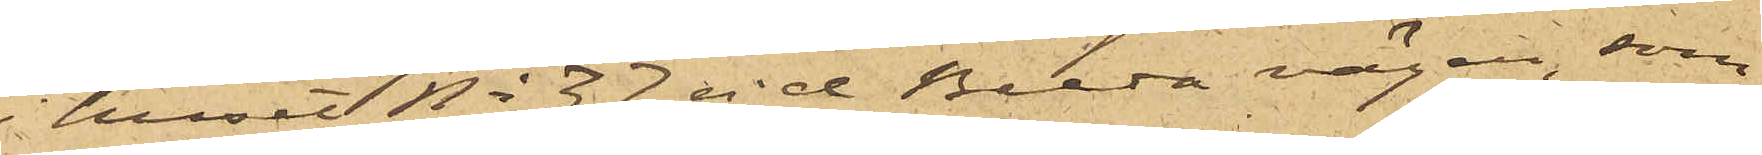i huset No 37 vid Breda vägen, som
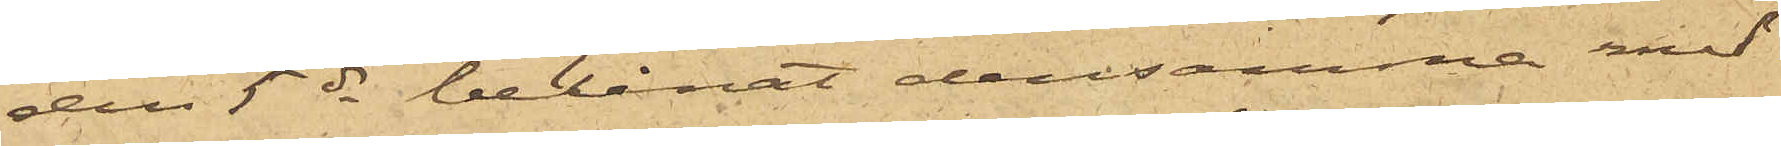den 5 ds belånat densamma med
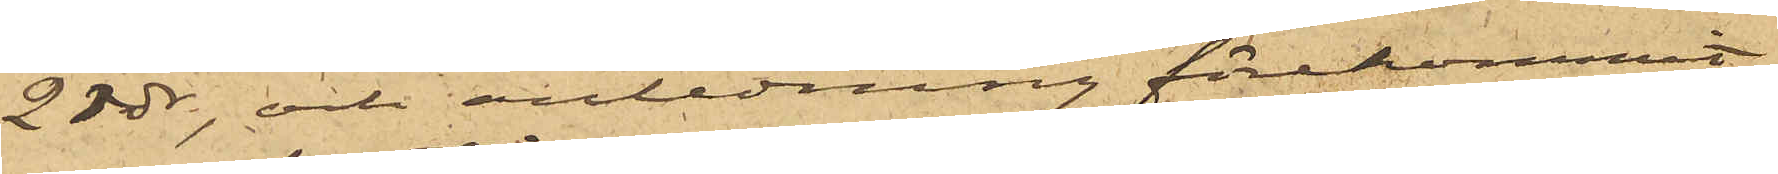2rdr, och anledning förekommit
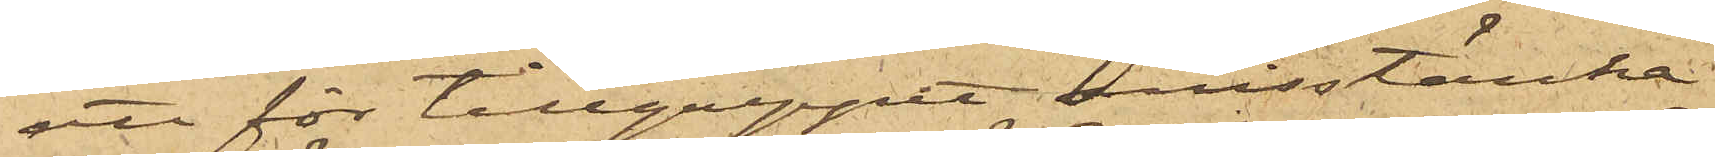att för tillgreppet misstänka
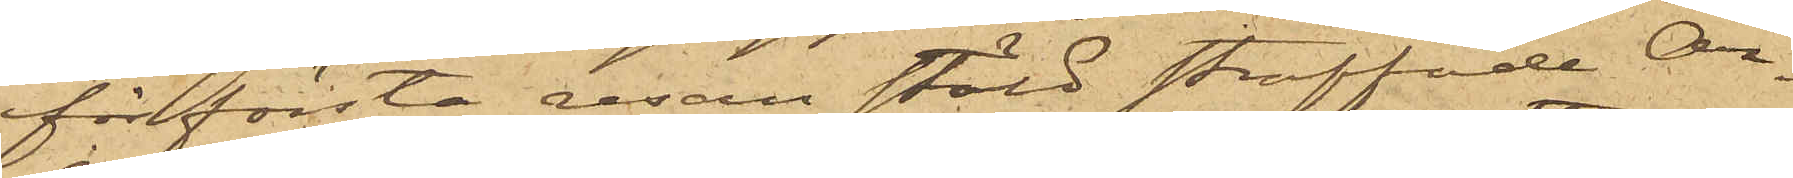för första resan stöld straffade Ar¬
